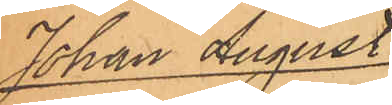Johan August
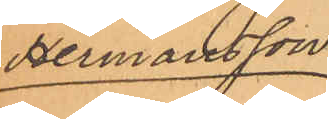Hermansson.
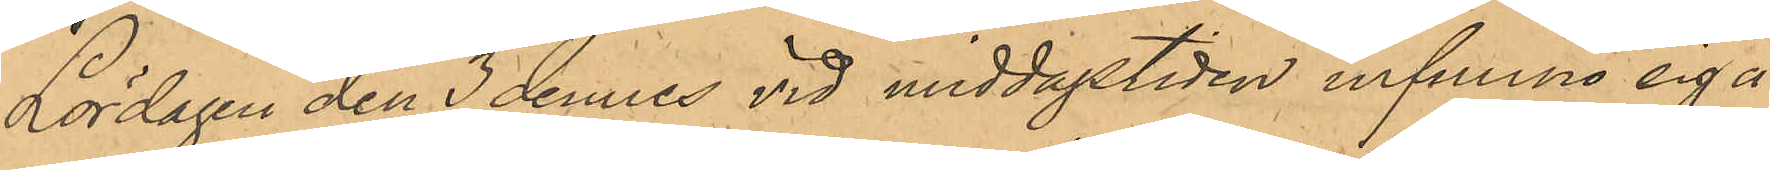Lördagen den 3 dennes vid middagstiden infunno sig å
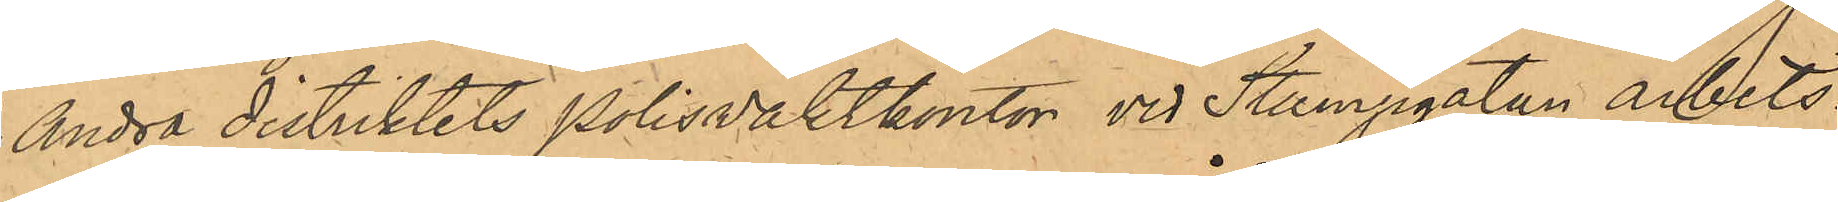Andra distriktets Polisvaktkontor vid Stampgatan arbets¬
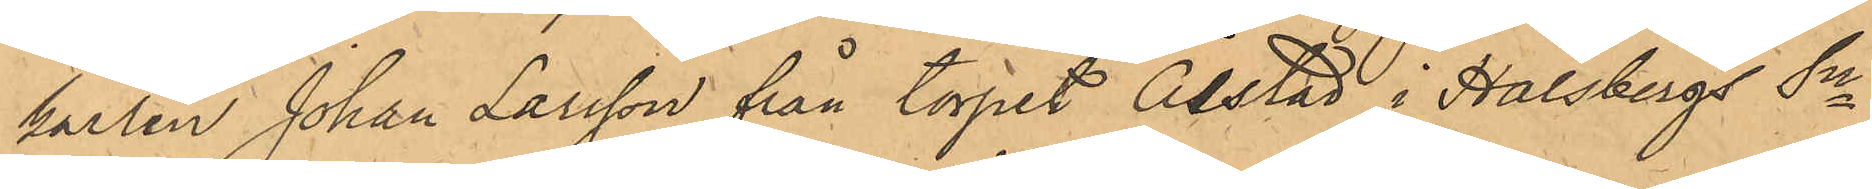karlen Johan Larsson från torpet Ålstad i Halsbergs Sn
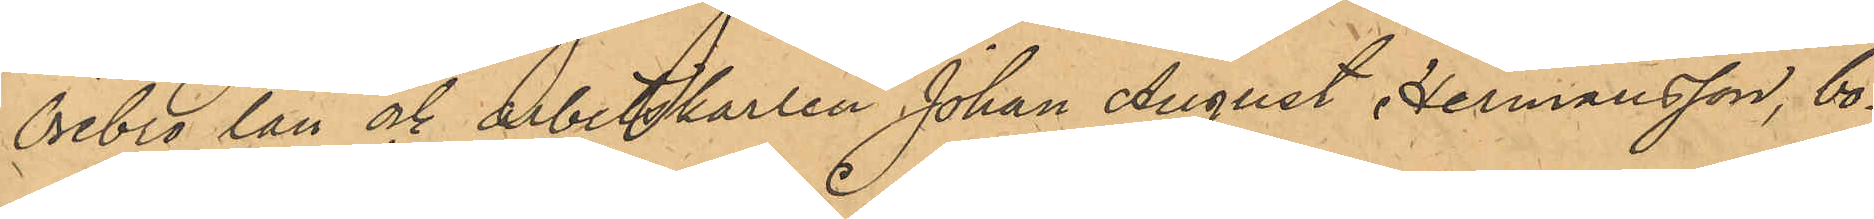Örebro Län och arbetskarlen Johan August Hermansson, bo¬
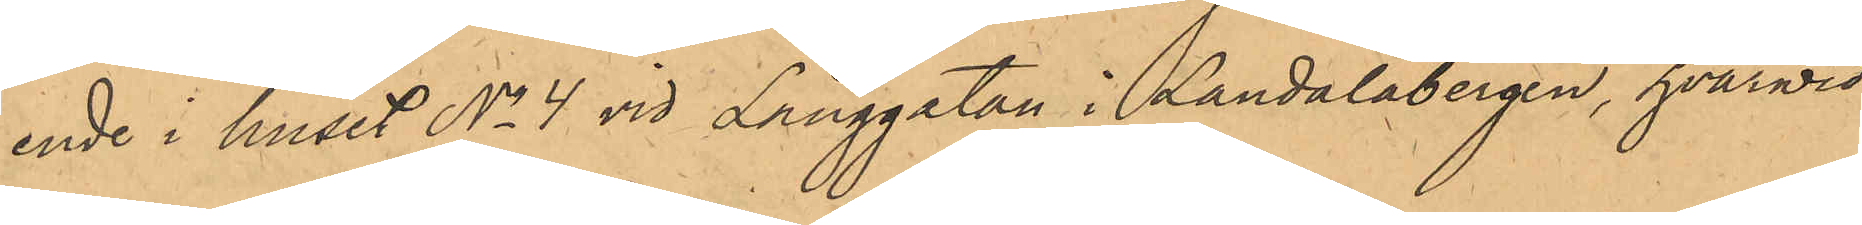ende i huset No 4 vid Långgatan i Landalabergen, hvarvid
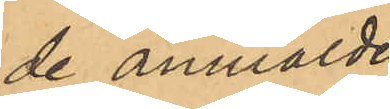de anmälde
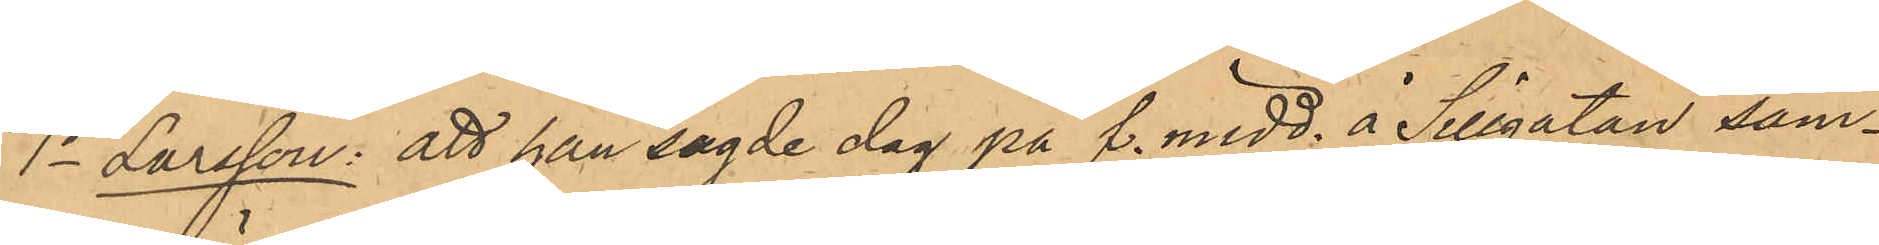1o Larsson: att han sagde dag på f. midd. å Sillgatan sam¬
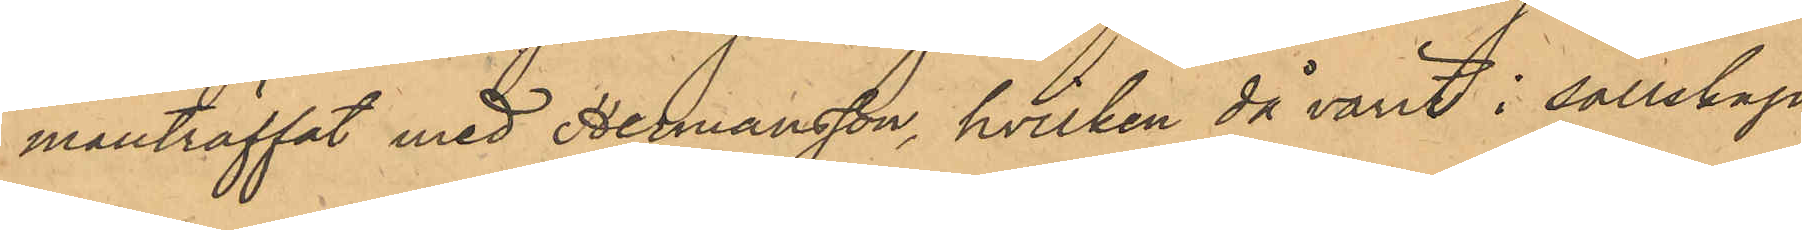manträffat med Hermansson, hvilken då varit i sällskap
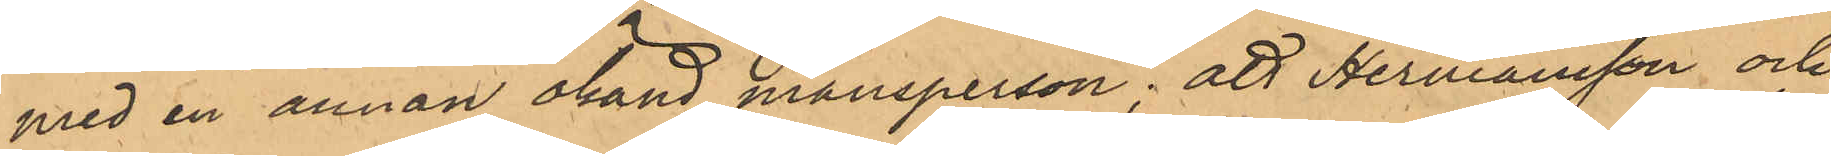med en annan okänd mansperson; att Hermansson och
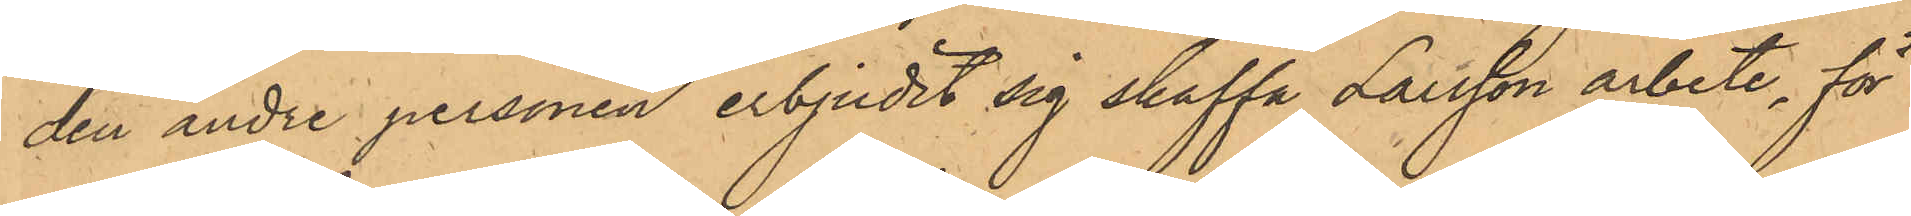den andre personen erbjudit sig skaffa Larsson arbete, för
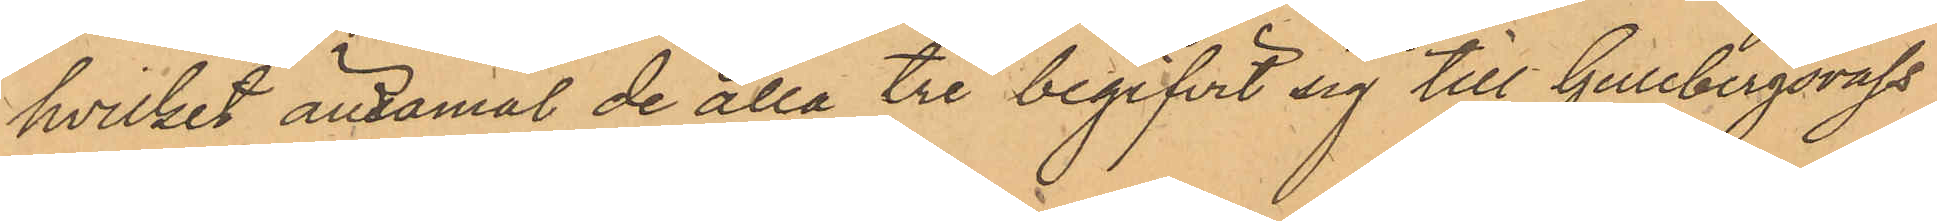hvilket ändamål de alla tre begifvit sig till Gullbergsvass
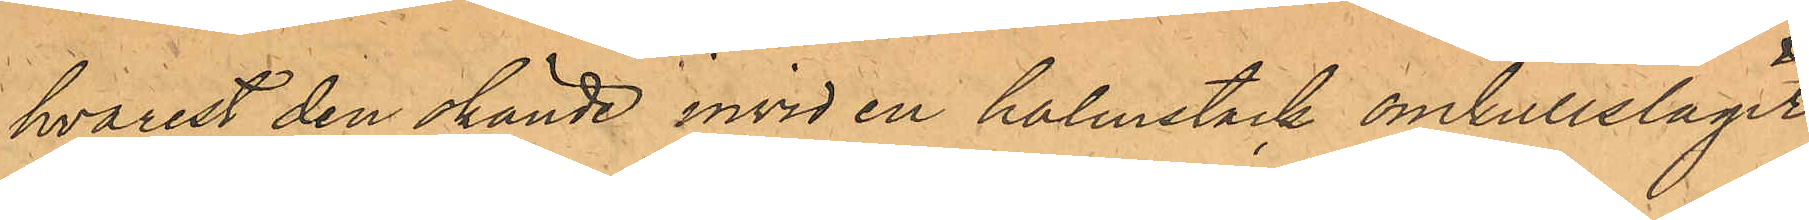hvarest den okände invid en halmstack omkullslagit
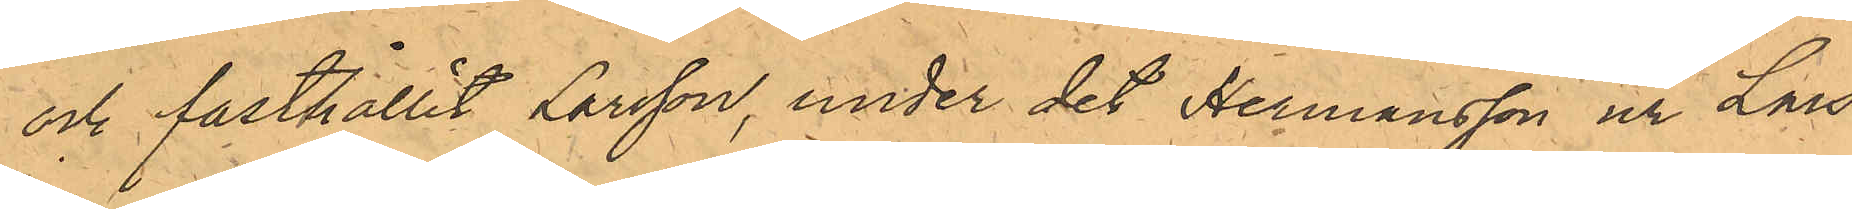och fasthållit Larsson, under det Hermansson ur Lars¬
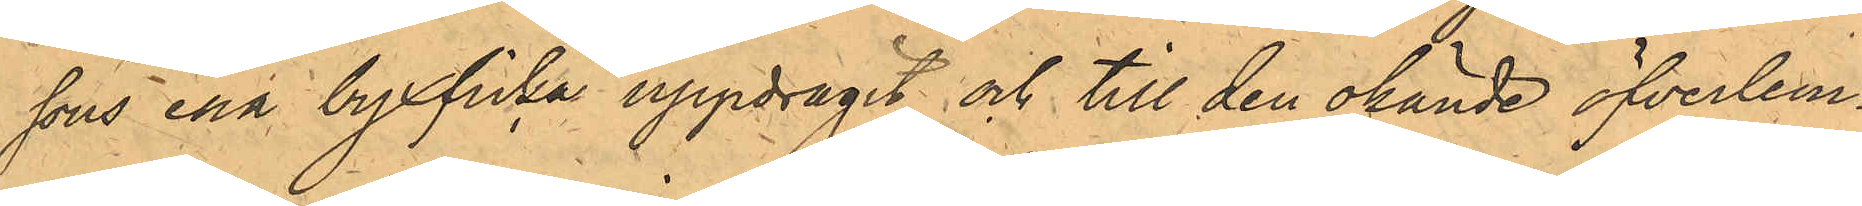sons ena byxficka uppdragit och till den okände öfverlem¬
